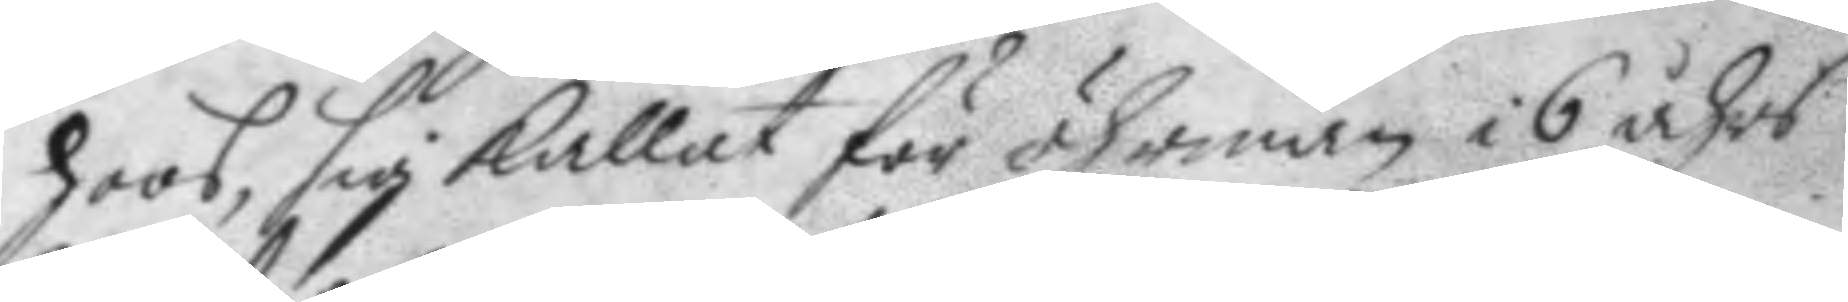hoos, sig kallat för öhrman i 6 åhrs
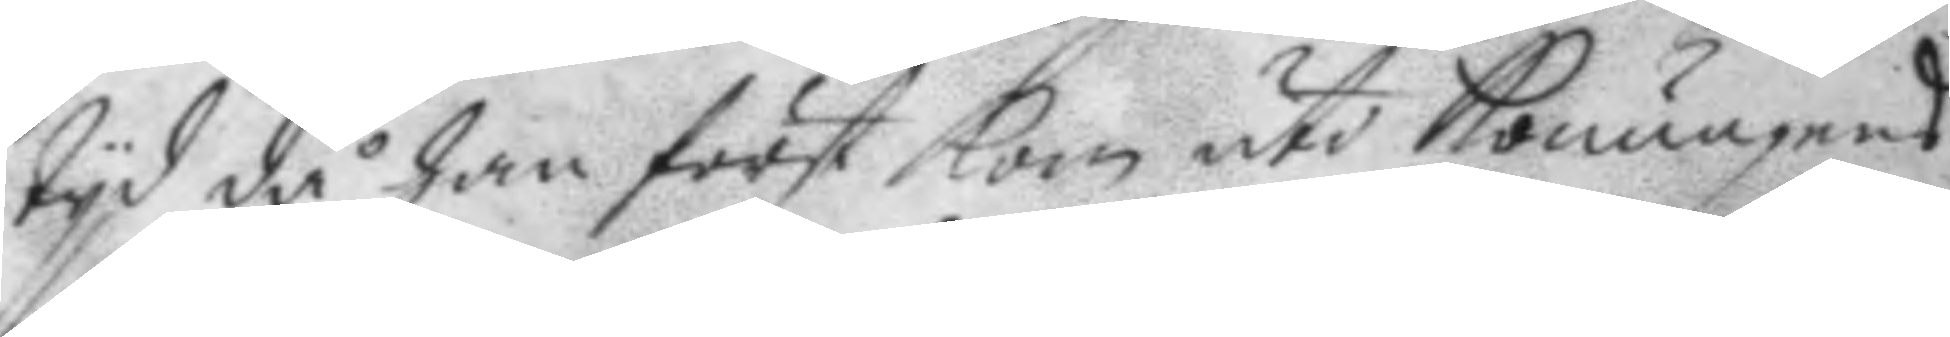tyd då han först kom uti Konungens
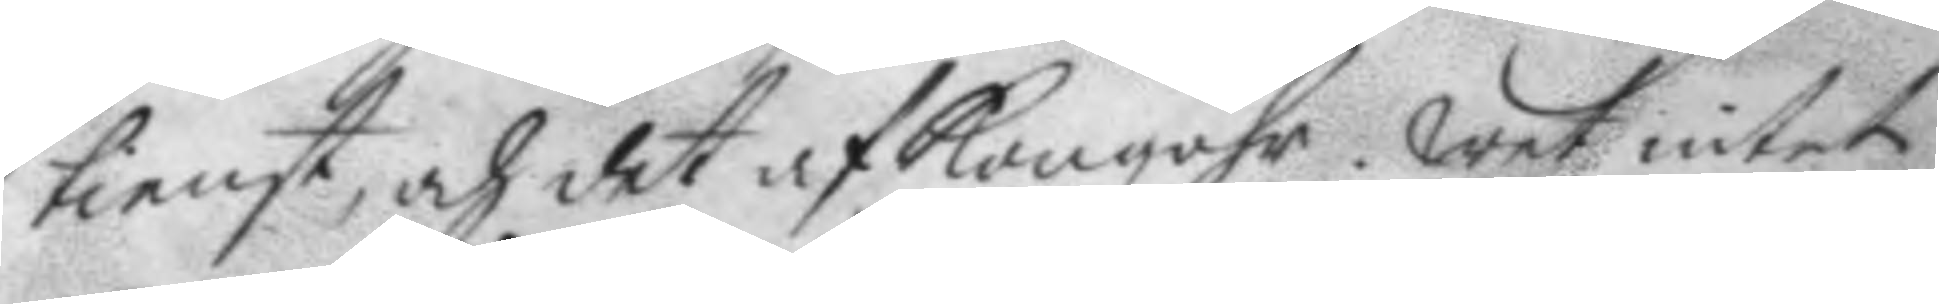tienst, och det af Kongzöhr. wet intet
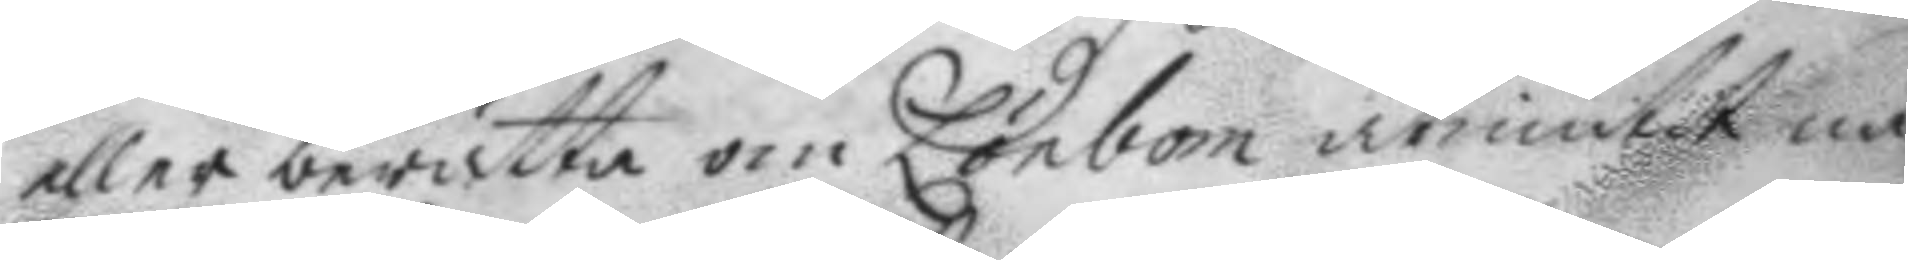eller berätta om Lönbom åtniutit nå¬
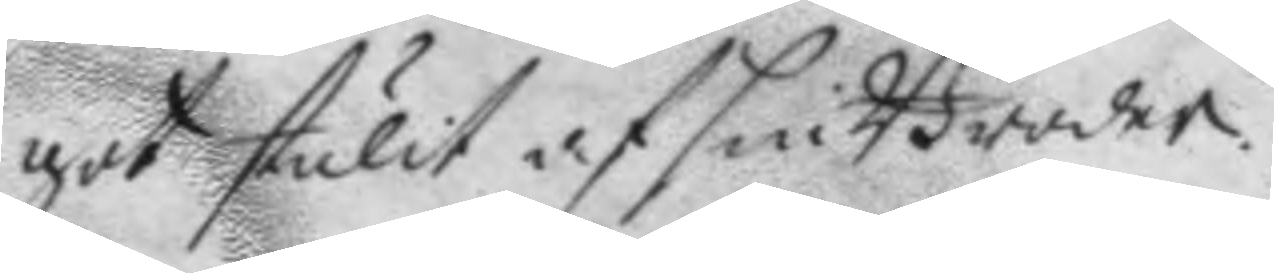got stulit af sin Broder.
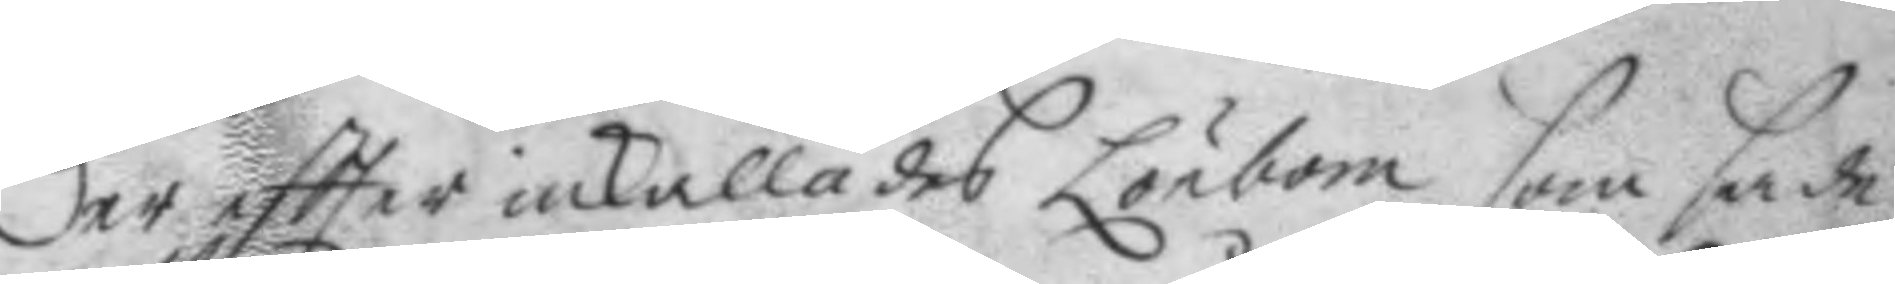der eftter inkallades Lönbom som sade
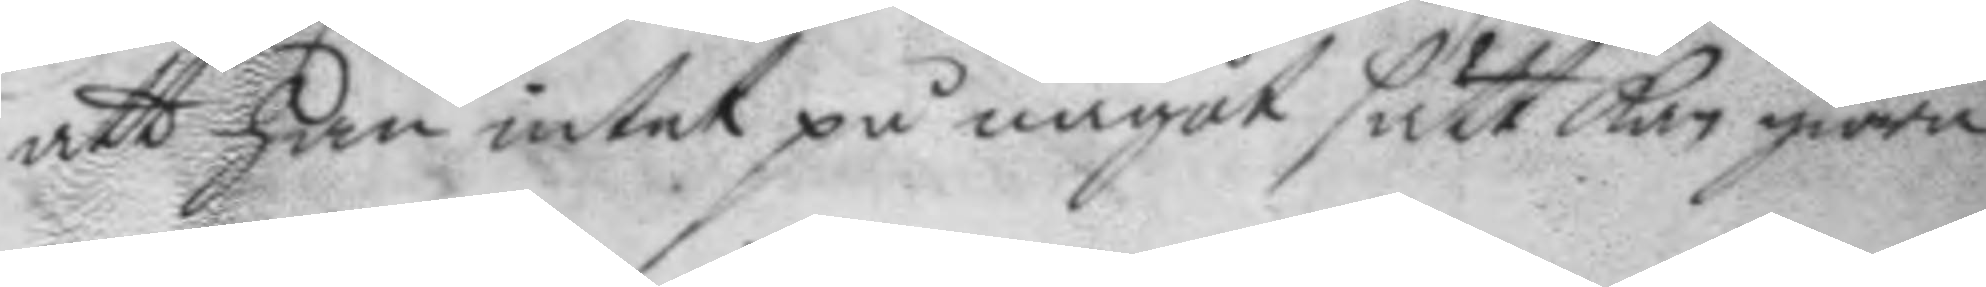att han intet på något sätt kan giöra
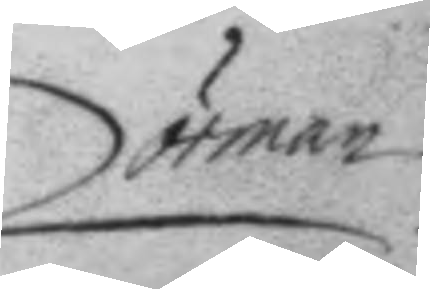örman
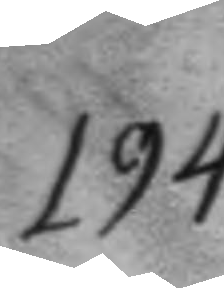194.
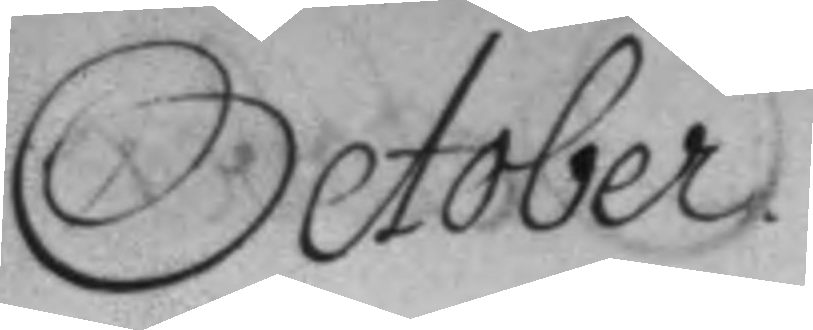October
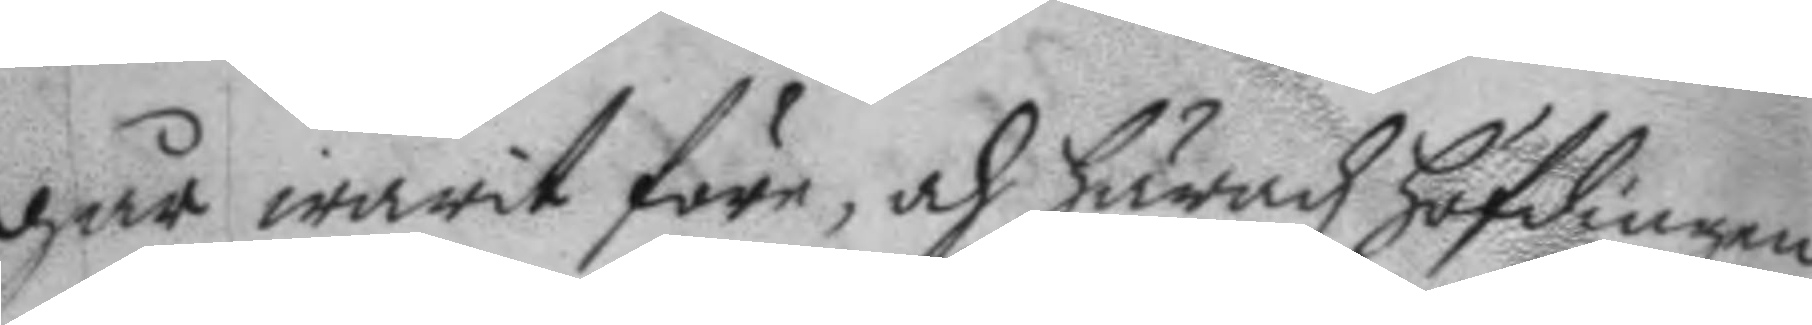går warit före, och häradz höfdingen
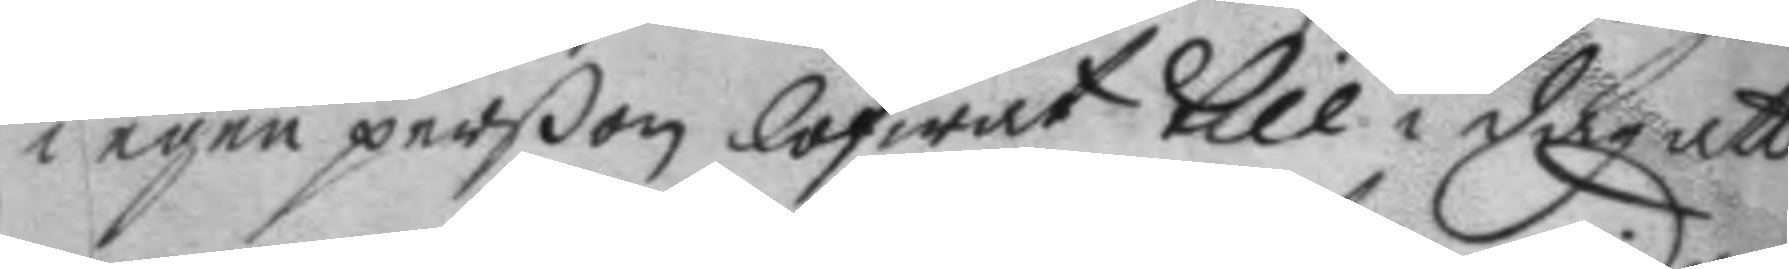i egen perßon lofwat till i dag att
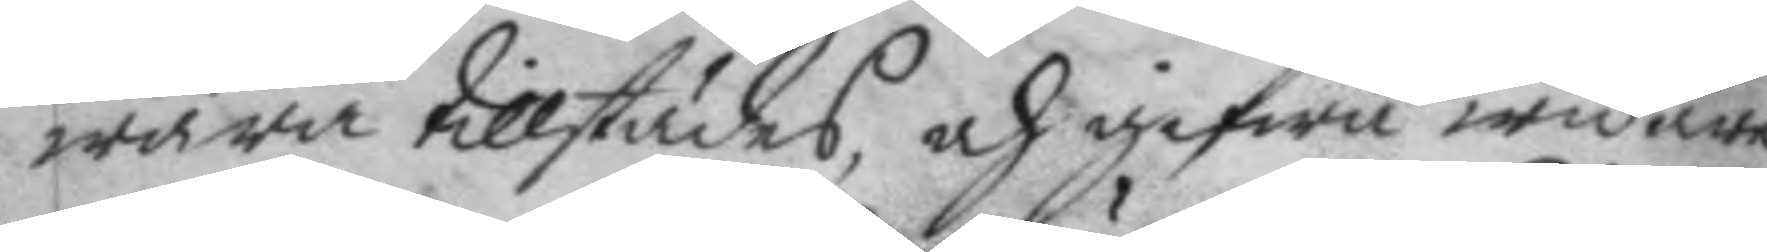wara tillstädes och gifwa widare
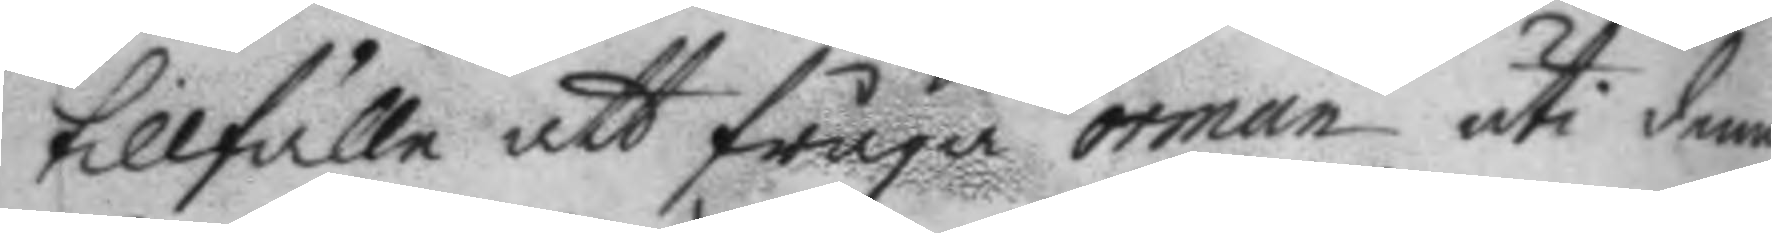tillfälle att fråga örman uti denne
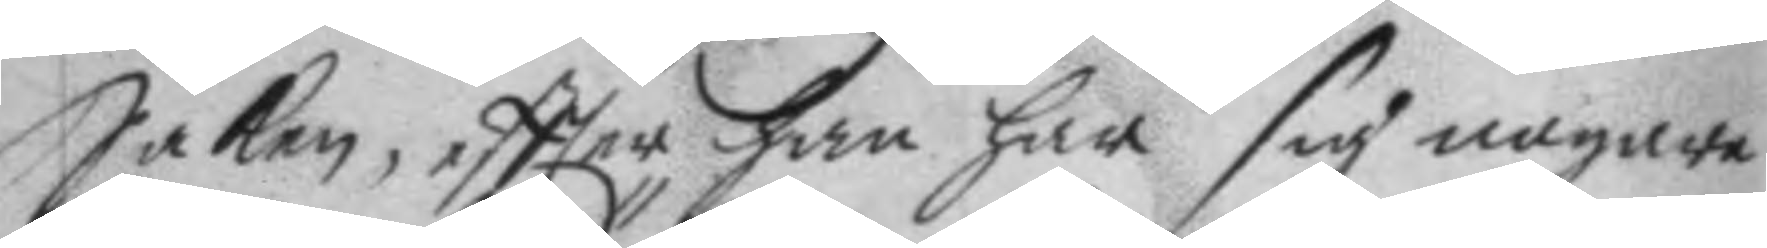Saken, eftter han har sig nogare
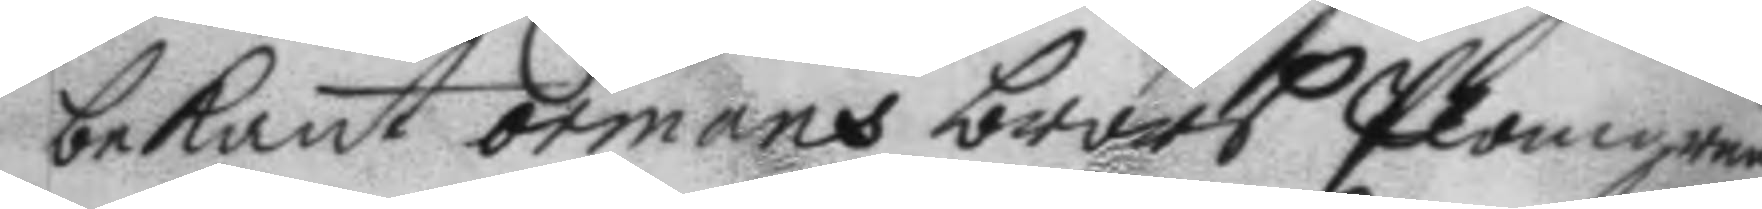bekant örmans brors plogmans
